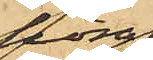höra
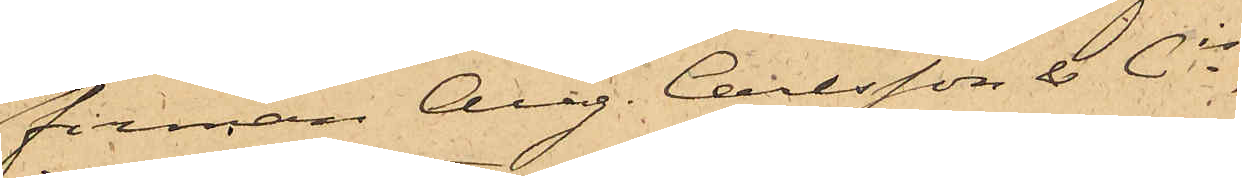firman Aug. Carlsson & Ci,
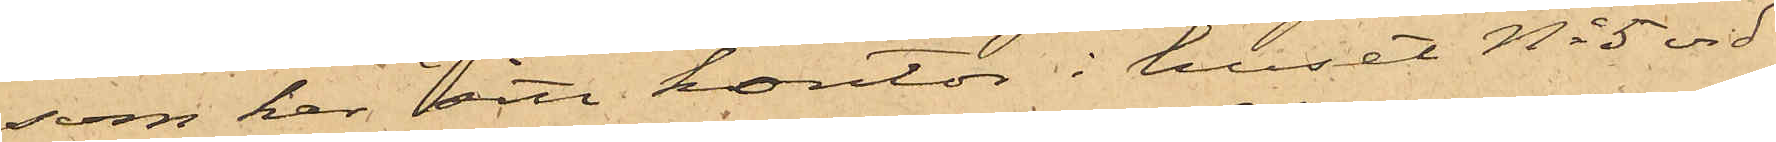som har sitt kontor i huset No 5 vid
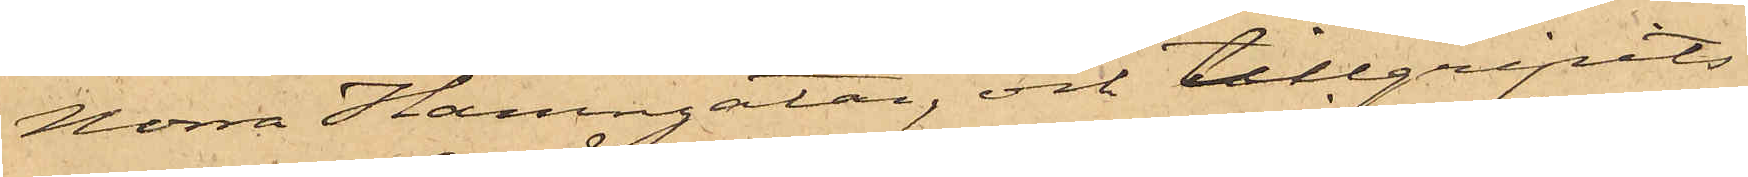Norra Hamngatan, och tillgripits
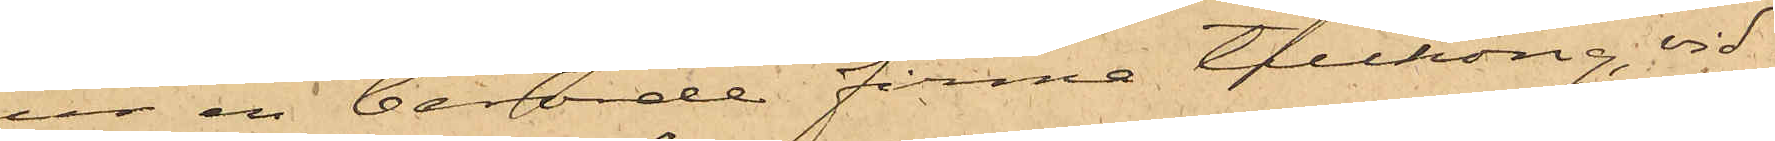ur en berörde firma tillhörig, vid
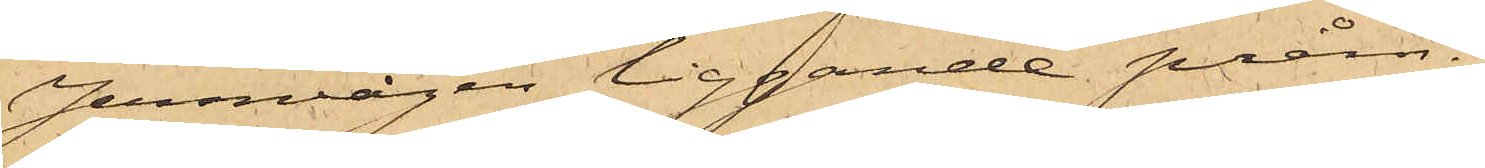Jernvågen liggande pråm.
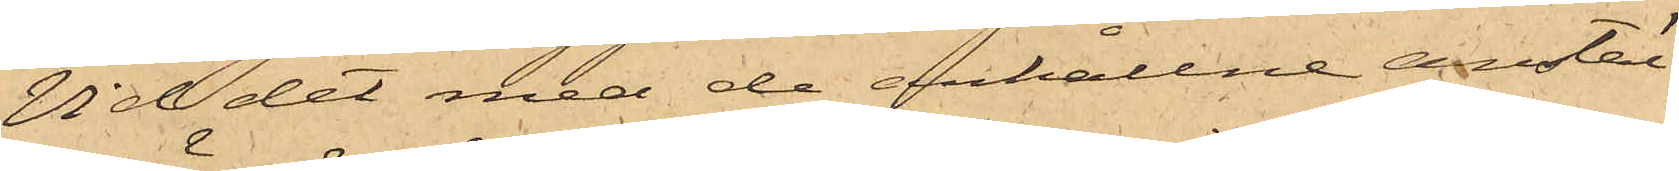Vid det med de erhållne anstäl¬
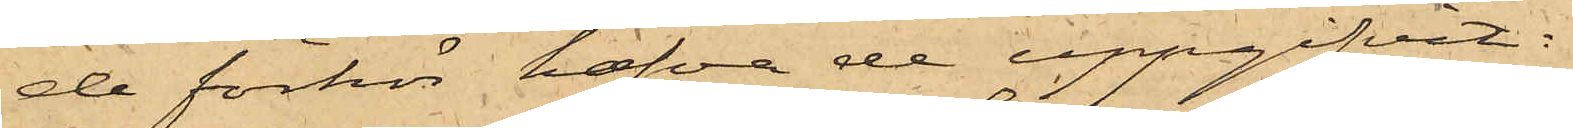de förhör hafva de uppgifvit:
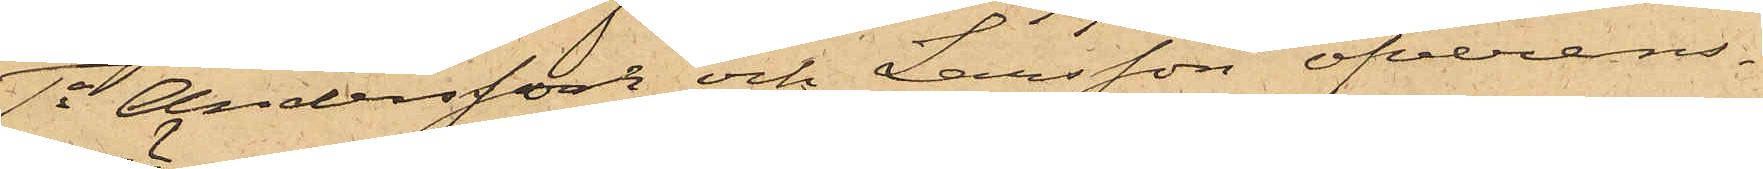1o Andersson och Larsson öfverens¬
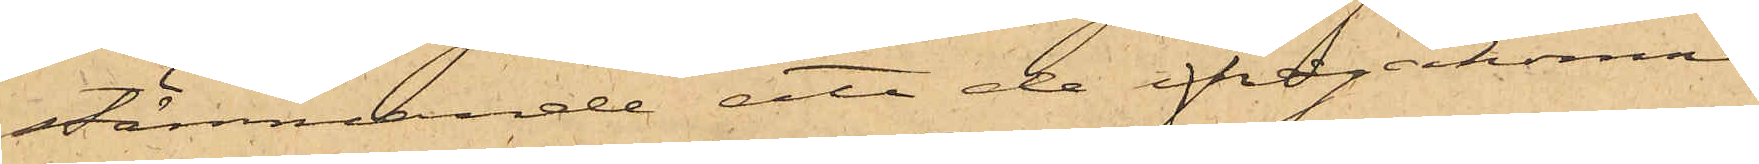stämmande att de ifrågakomne
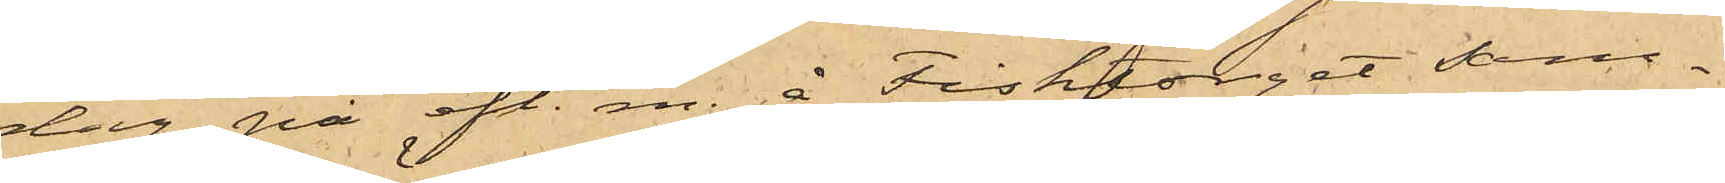dag på eft. m. å Fisktorget sam¬
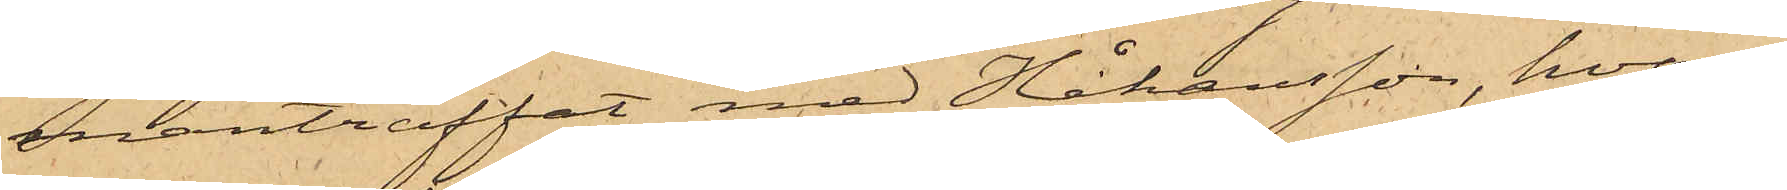manträffat med Håkansson, hvar¬
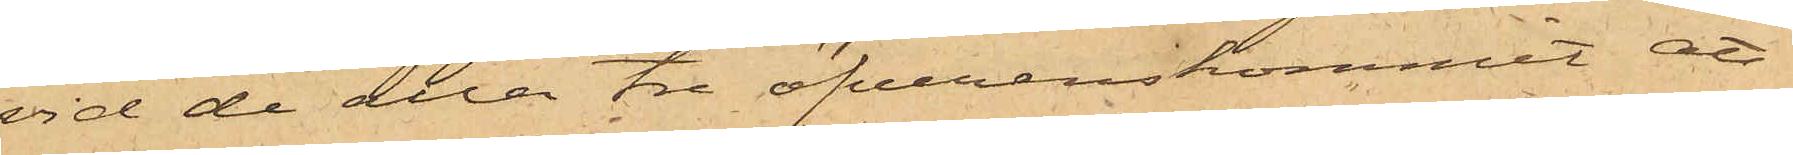vid de alla tre öfverenskommit, att
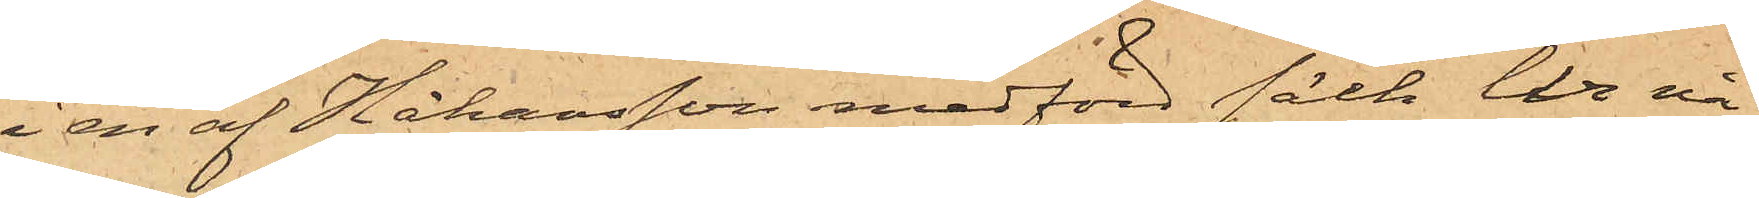i en af Johansson medförd säck ur nå¬
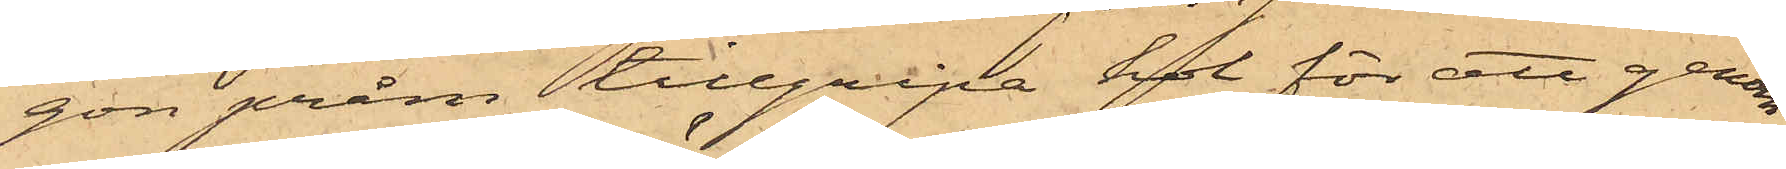gon pråm tillgripa kol för att genom
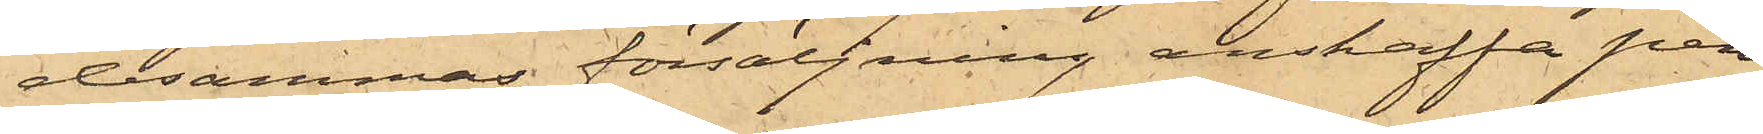desammas försäljning anskaffa pen¬
